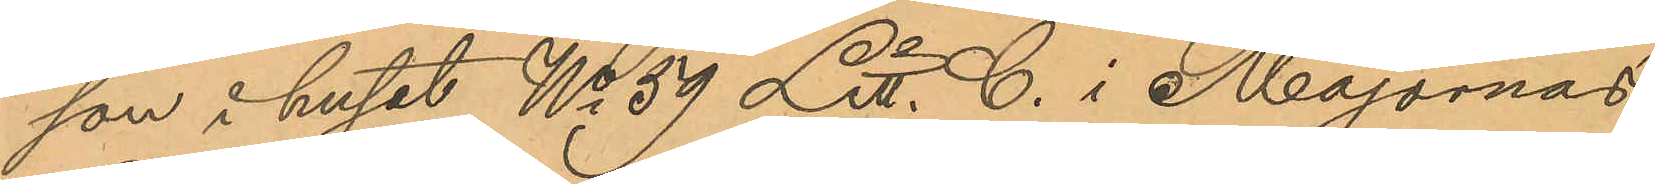son i huset No 59 Litt. C. i Majornas
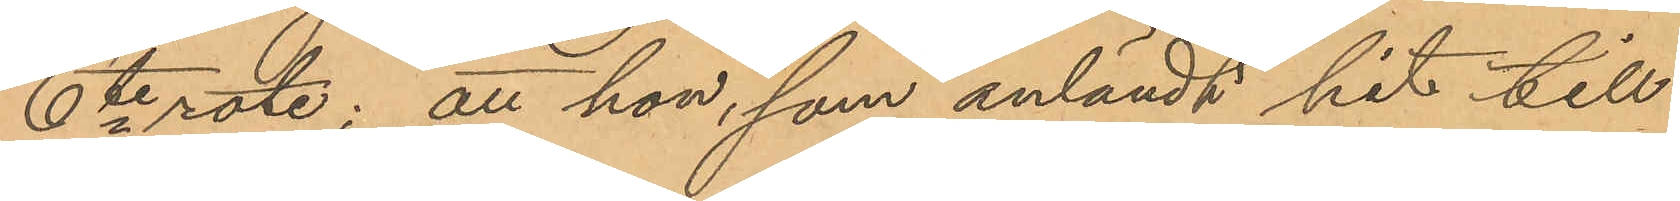6te rote; att hon, som anländt hit till
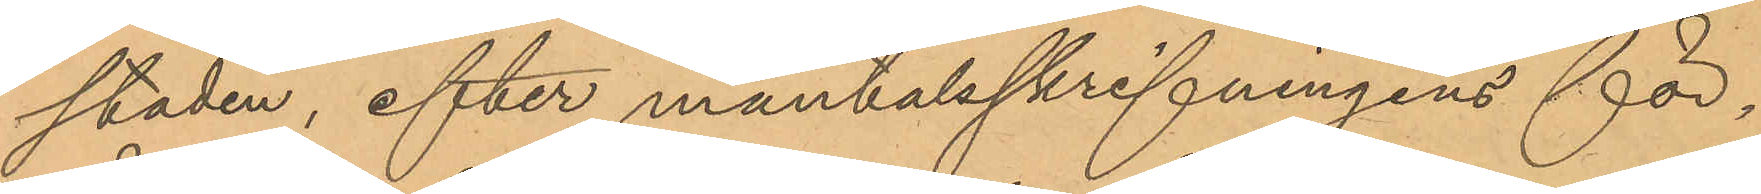staden, efter mantalsskrifningens för¬
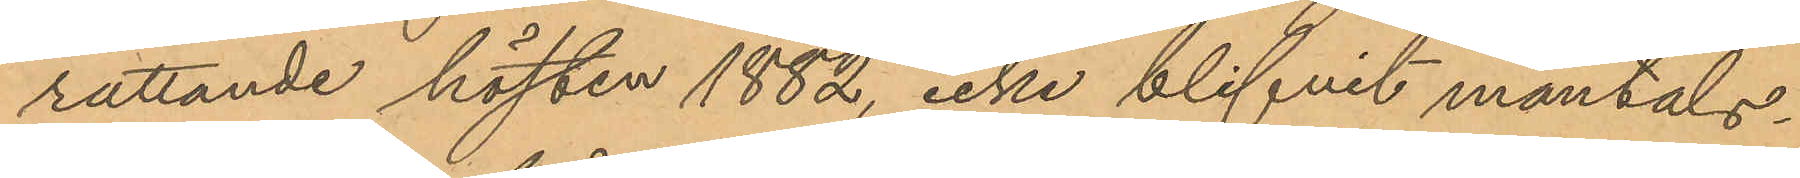rättande hösten 1882, icke blifvit mantals¬
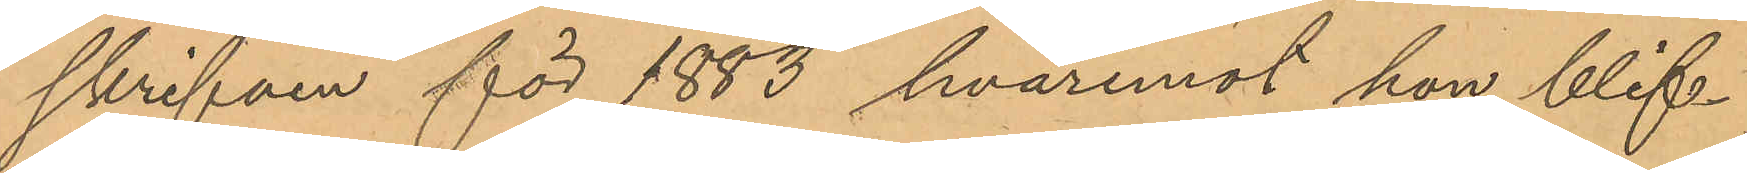skrifven för 1883, hvaremot hon blif¬
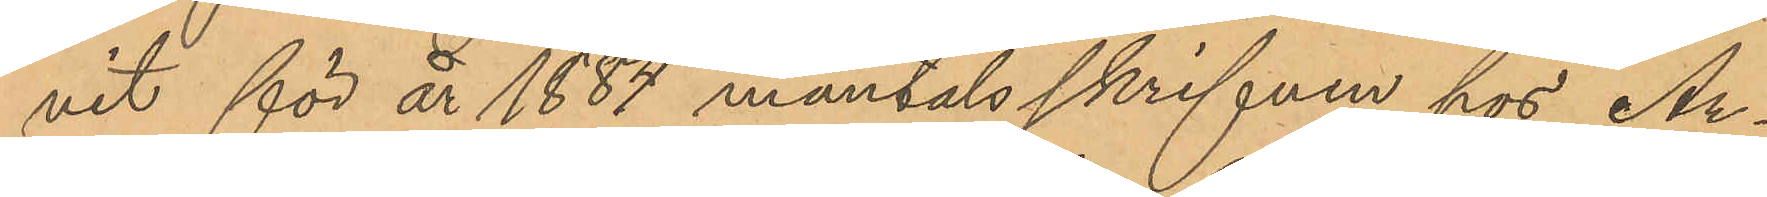vit för år 1884 mantalsskrifven hos Ar¬
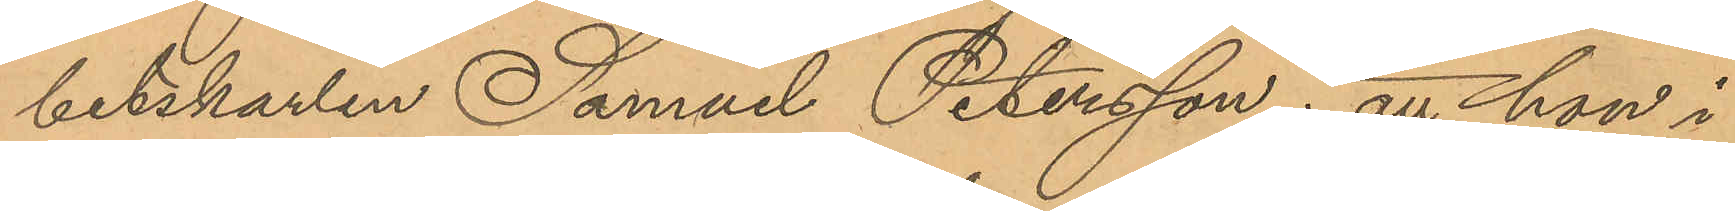betskarlen Samuel Petersson; att hon i
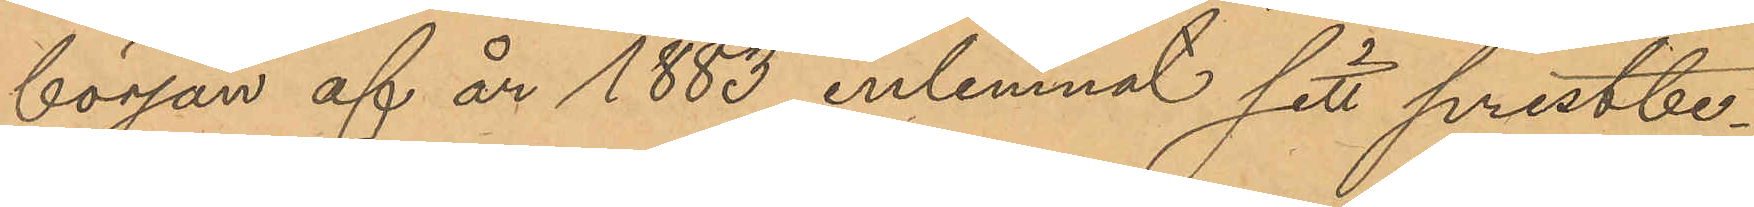början af år 1883 inlemnat sitt prestbe¬
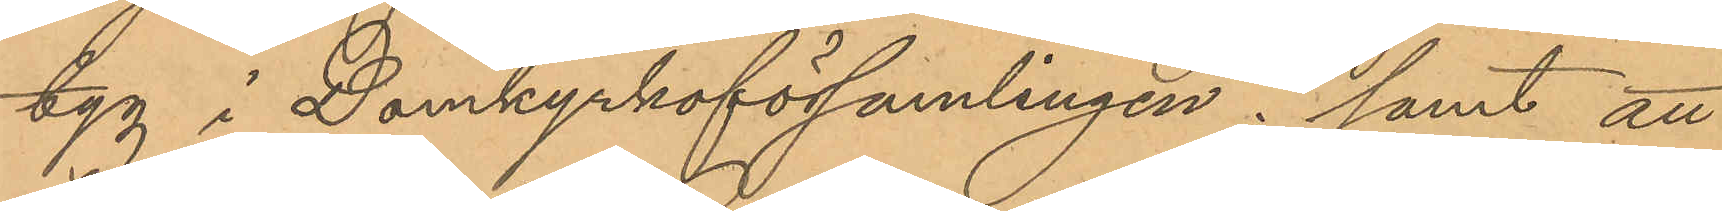tyg i Domkyrkoförsamlingen; samt att
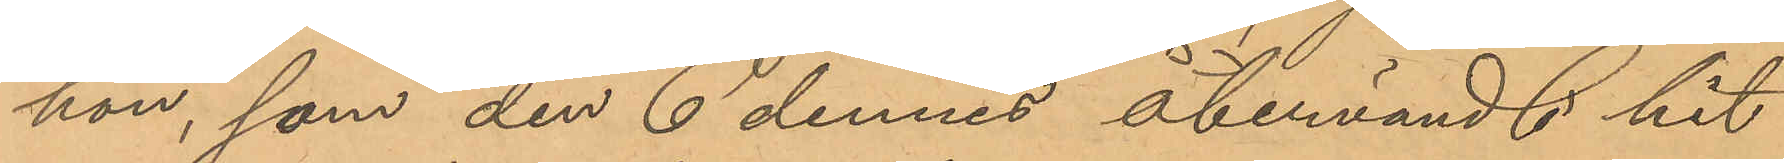hon, som den 6 dennes återvände hit
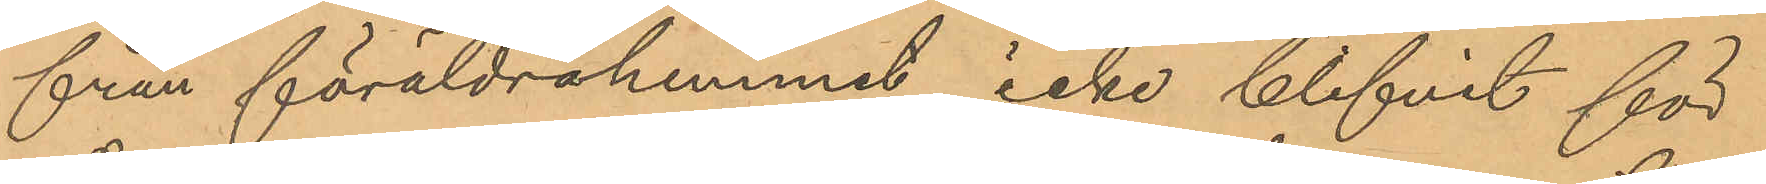från föräldrahemmet, icke blifvit för
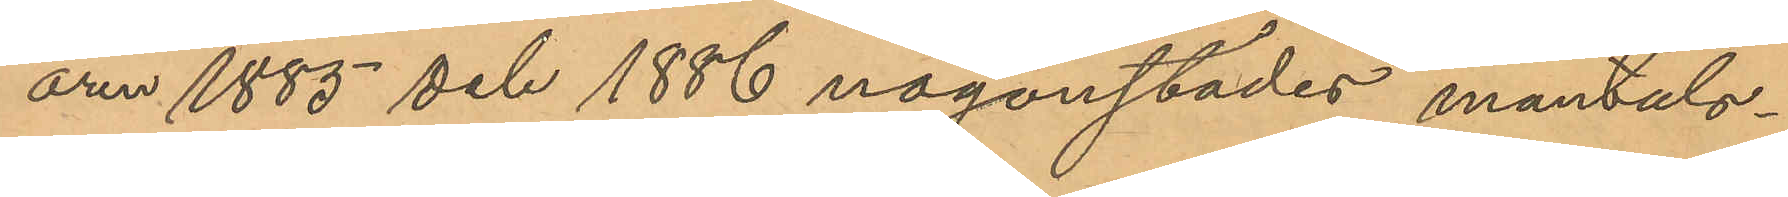åren 1885 och 1886 någonstädes mantals¬
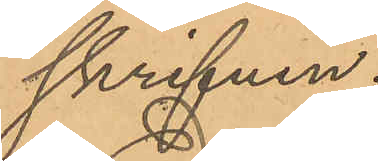skrifven.
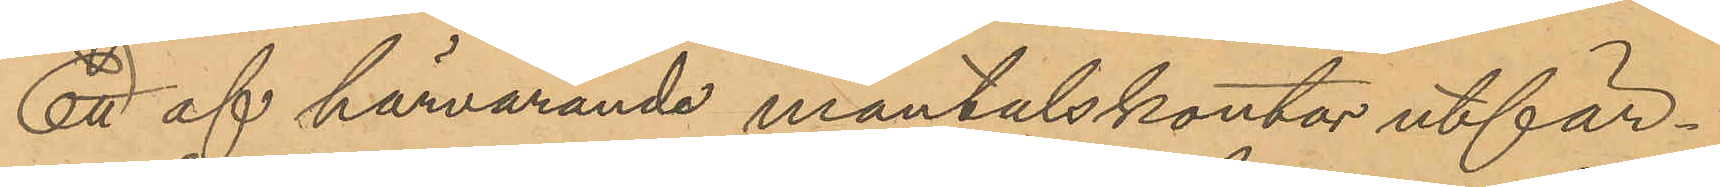Ett af härvarande mantalskontor utfär¬
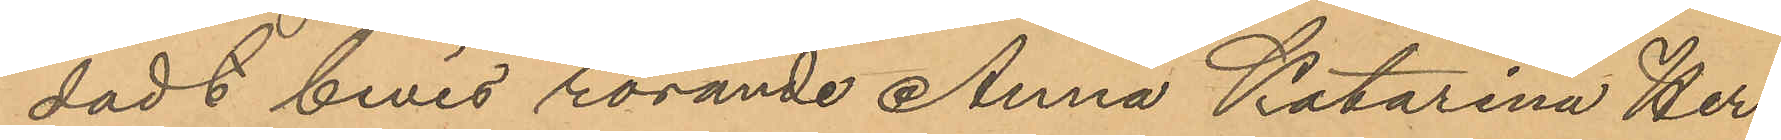dadt bevis rörande Anna Katarina Her¬
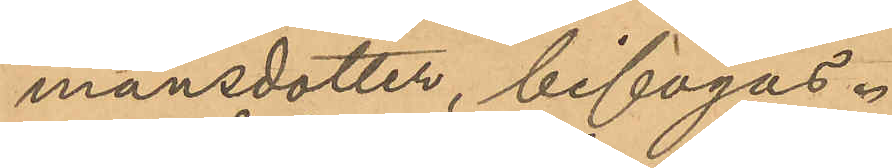mansdotter, bifogas.
